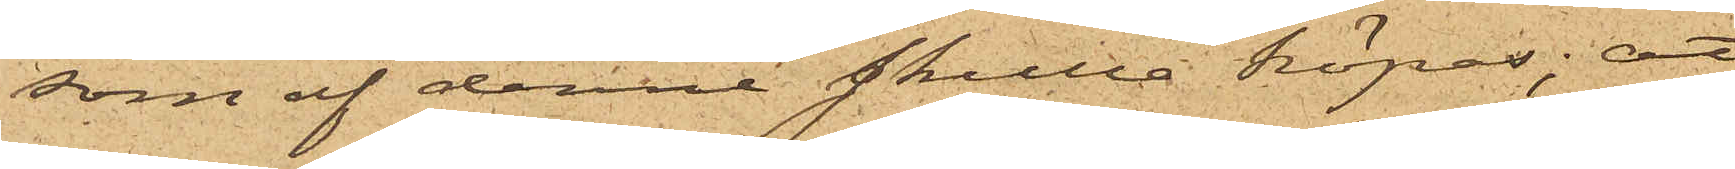som af denne skulle köpas; att
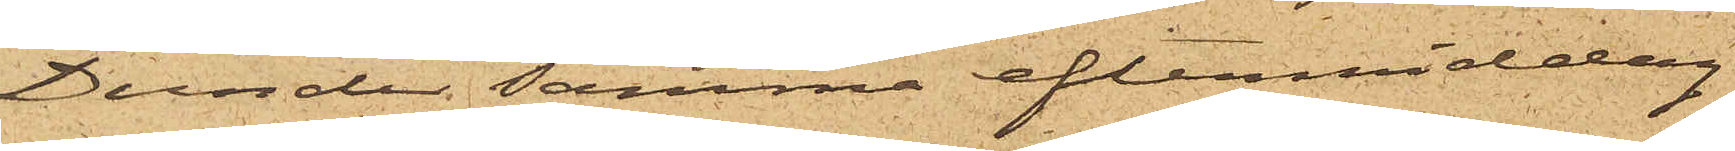Dunder samma eftermiddag
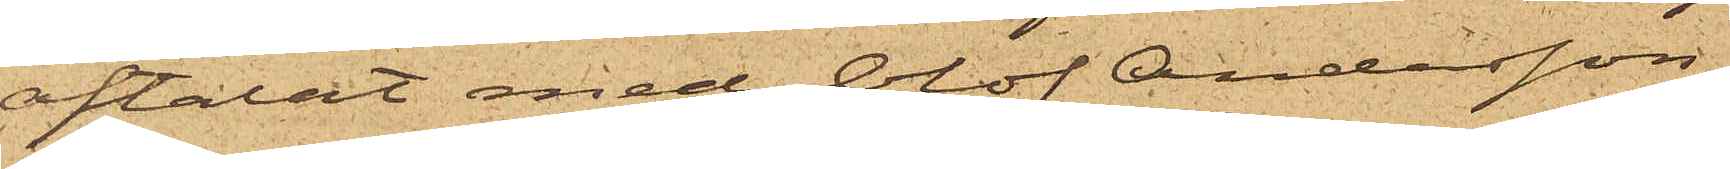aftalat med Olof Andersson,
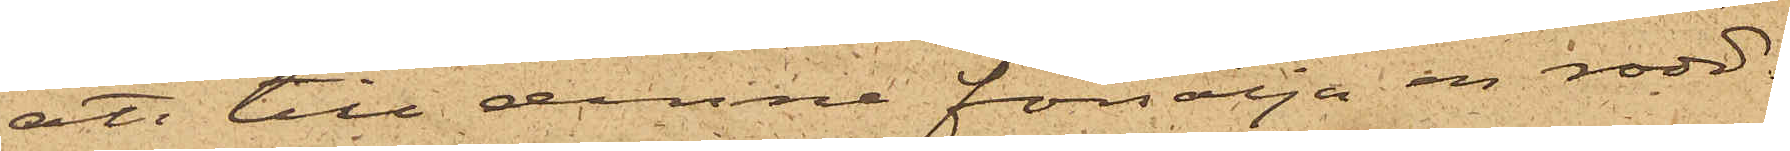att till denne försälja en rodd¬
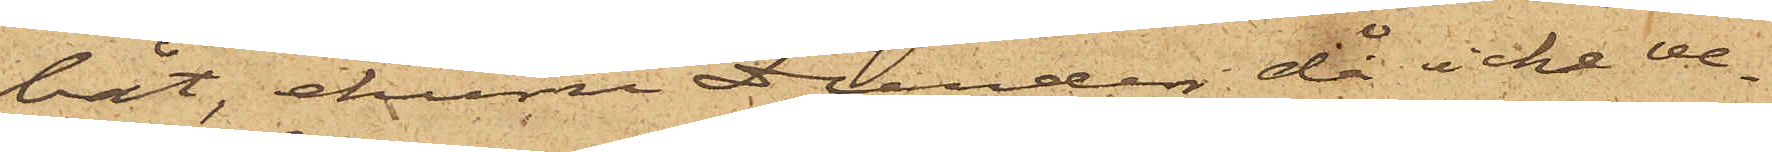båt, ehuru Dunder då icke ve¬
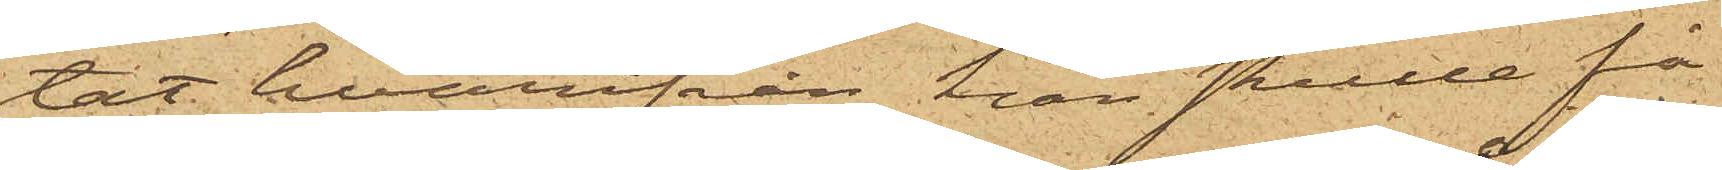tat hvarifrån han skulle få
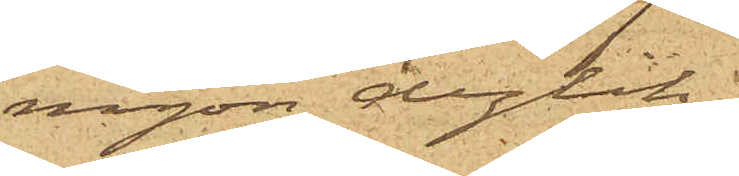någon dylik;
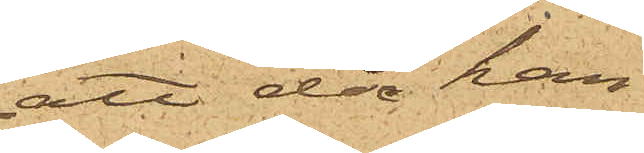att då han
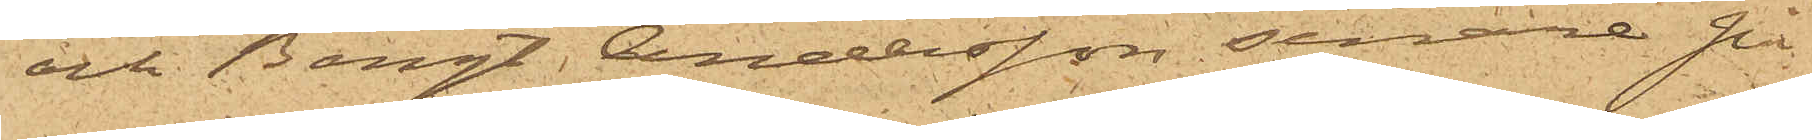och Bengt Andersson senare på
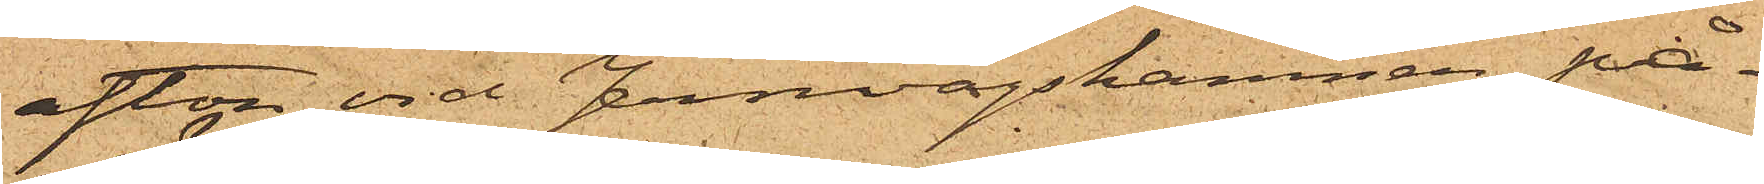afton vid Jernvågshamnen på¬
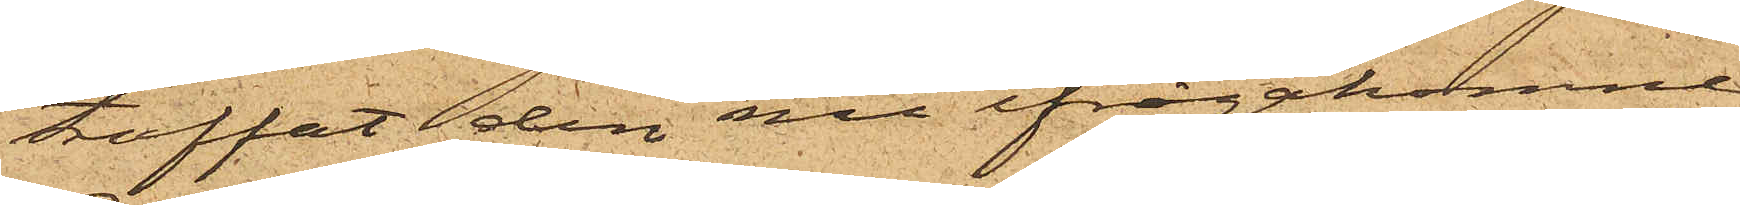träffat den nu ifrågakomne
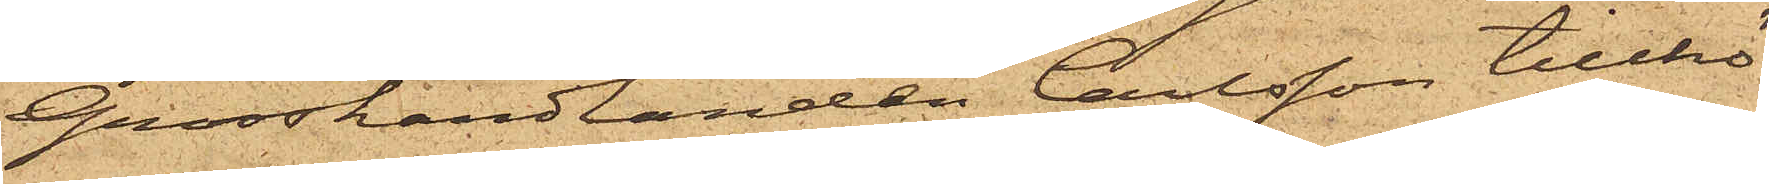Grosshandlanden Carlsson tillhö¬
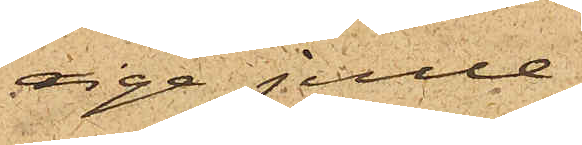rige julle,
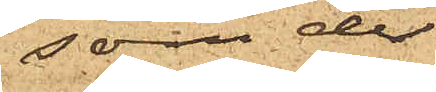som der
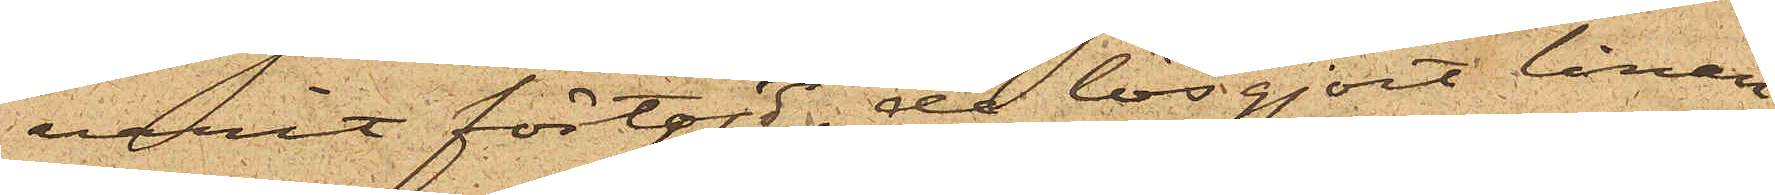varit förtöjd, de lösgjort linan,
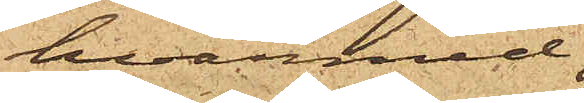hvarmed
